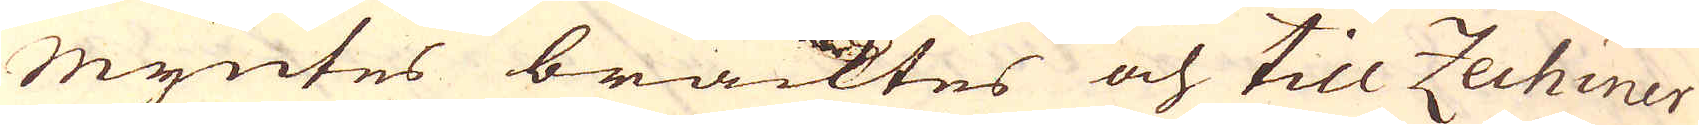myntes bracktes och till Zechiner
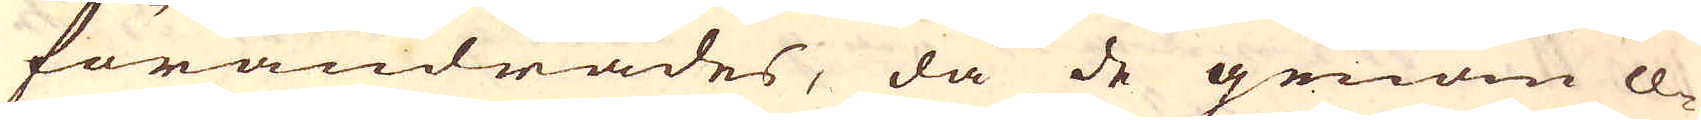förändrades, då de genom ce-
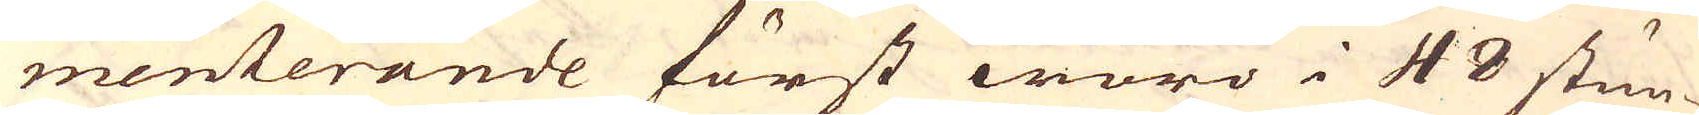menterande först woro i 48 stun-
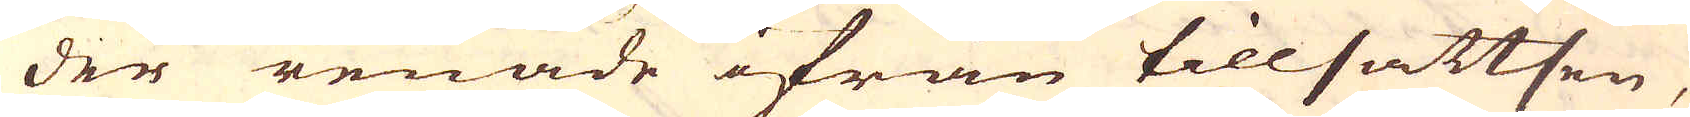der renade ifrån tillsattsen,
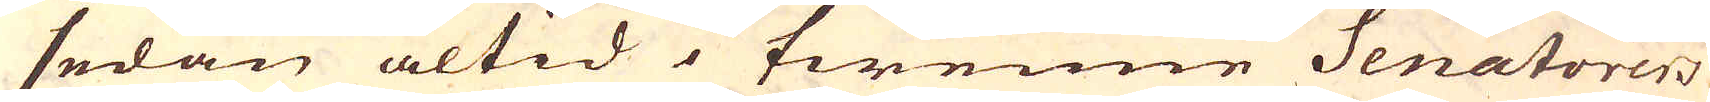sedan altid i twenne Senatorers
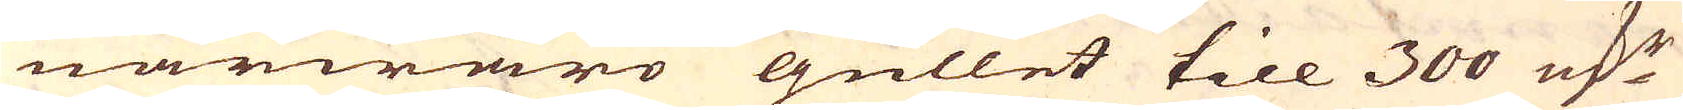närwaro gullet till 300 marker
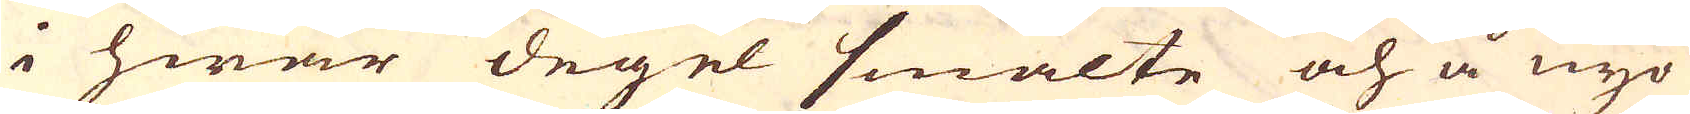i hwar degel smälte och å nyo
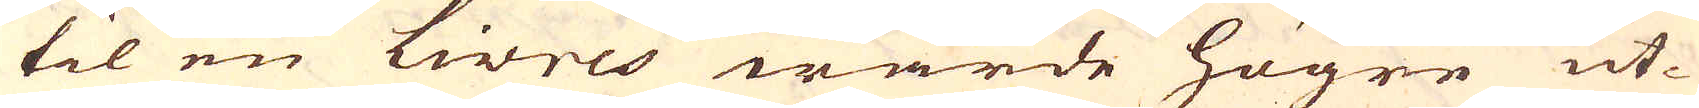til en Livres wärde högre ut-
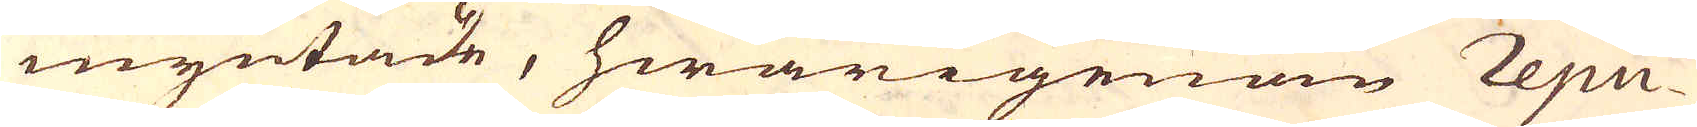myntade, hwarigenom repu-
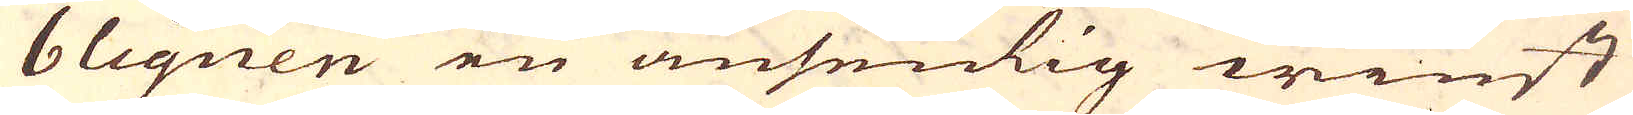bliquen en ansenlig winst
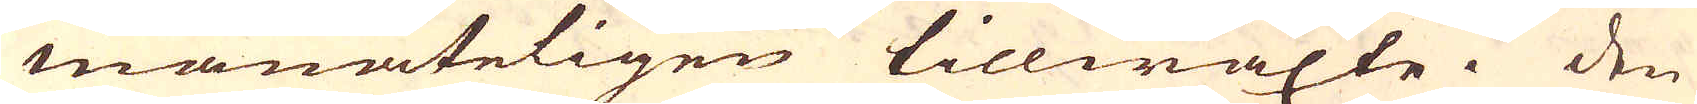månateligen tillwäxte. Den
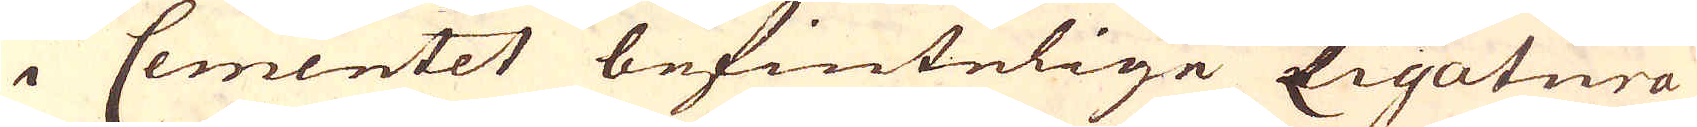i Cementet befintelige Ligatura
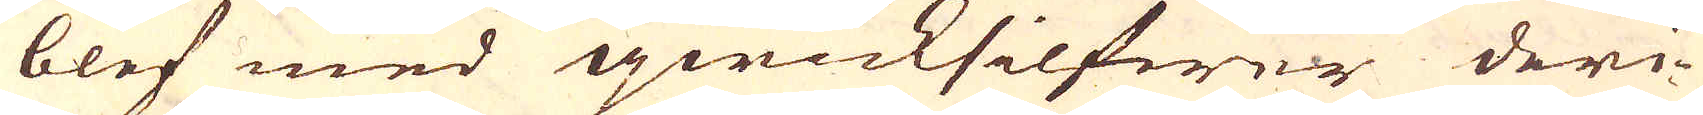blef med qwicksilfwer deri-
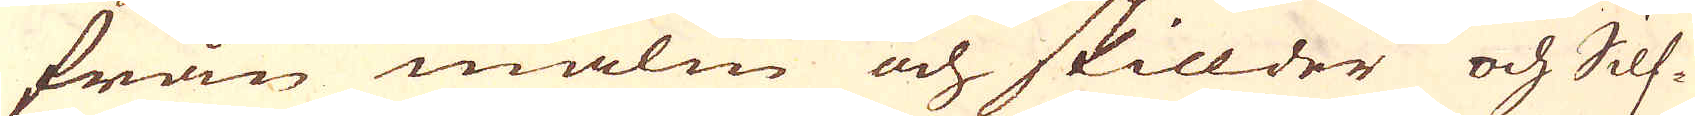från malm och skillder och Silf-
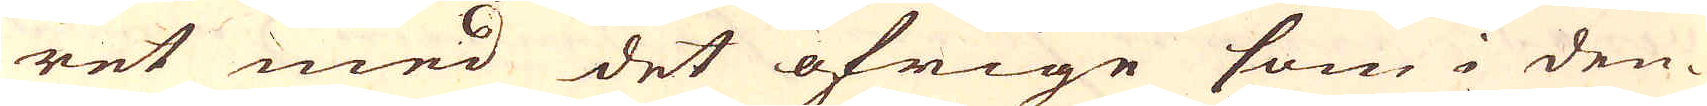ret med det öfrige som i den-
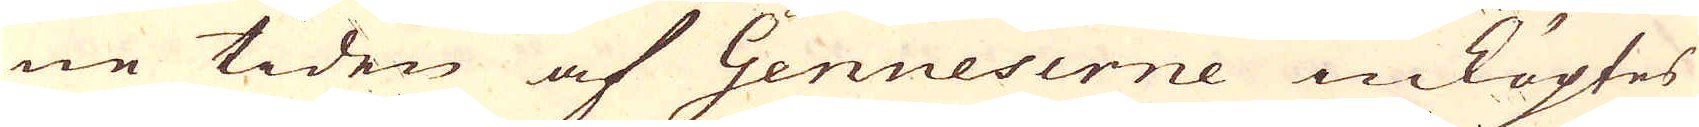ne tiden af Genueserne inköptes
